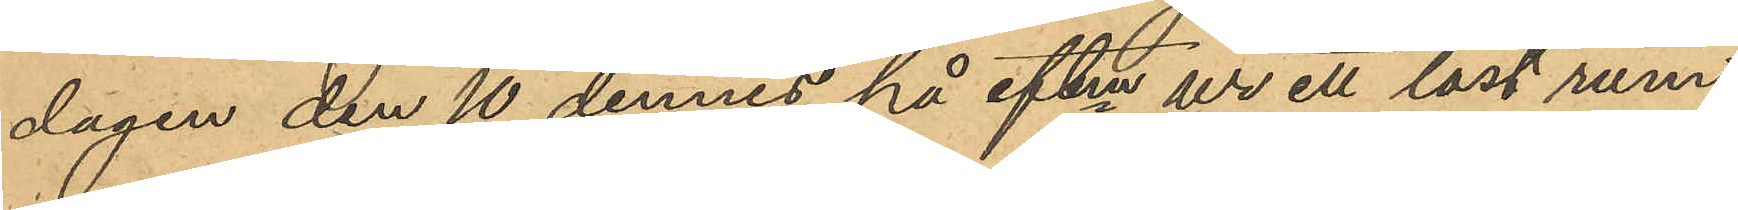dagen den 10 dennes på eftm ur ett låst rum
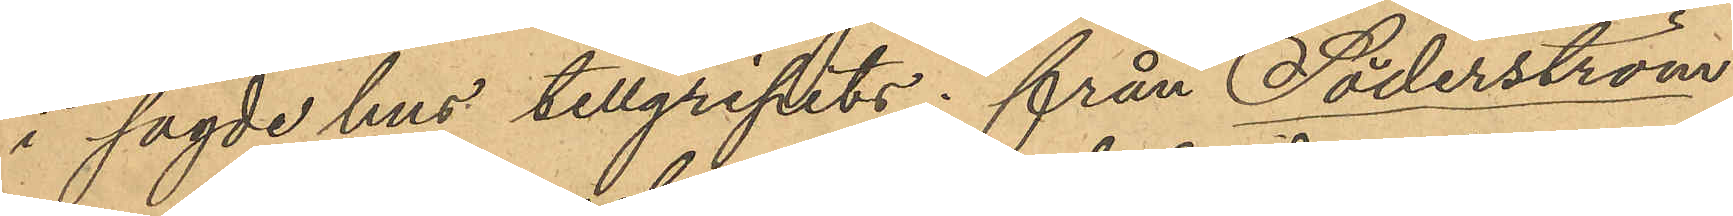i sagde hus tillgripits: från Söderström
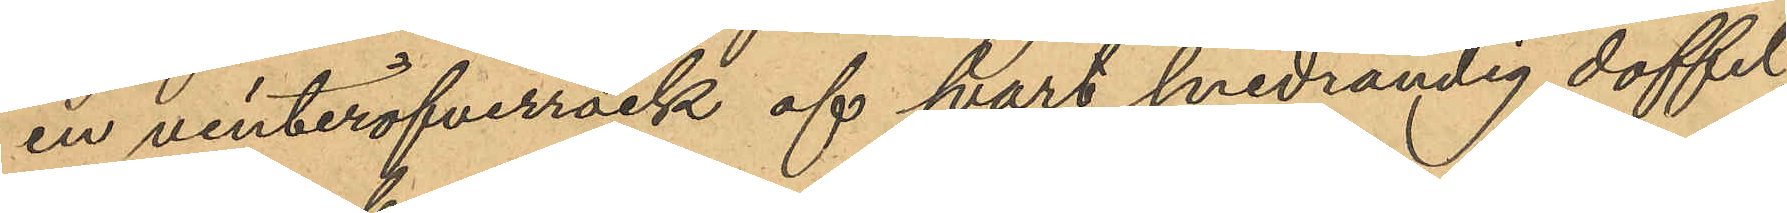en vinteröfverrock af svart snedrandig doffel,
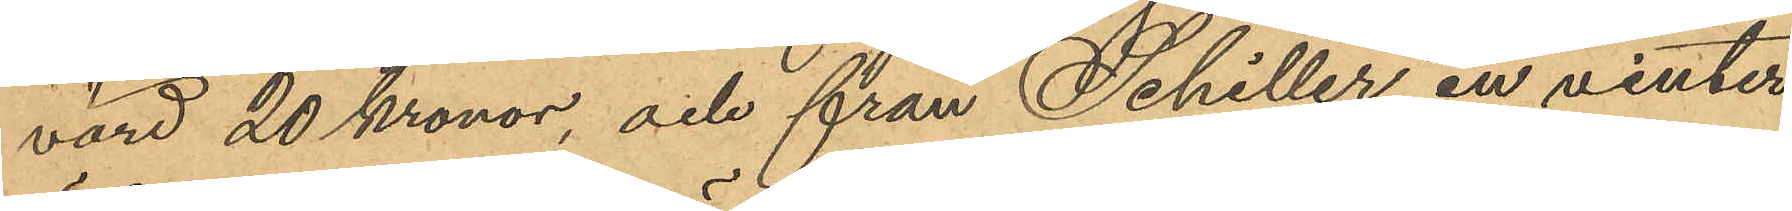värd 20 Kronor, och från Schiller en vinter¬
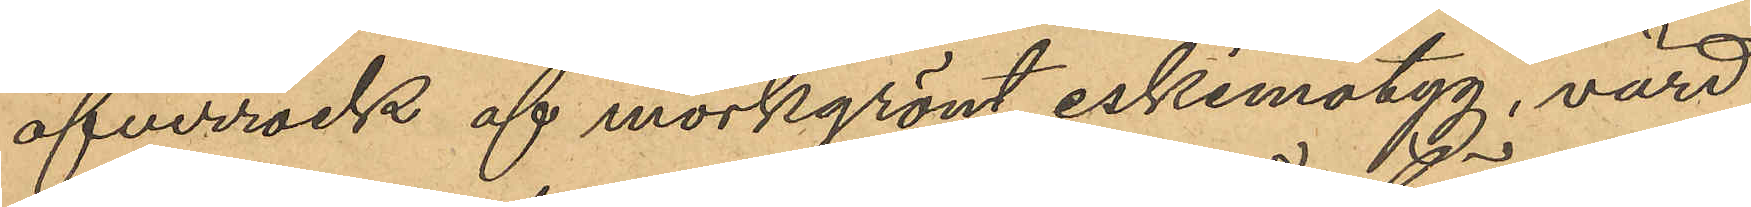öfverrock af mörkgrönt eskimotyg, värd
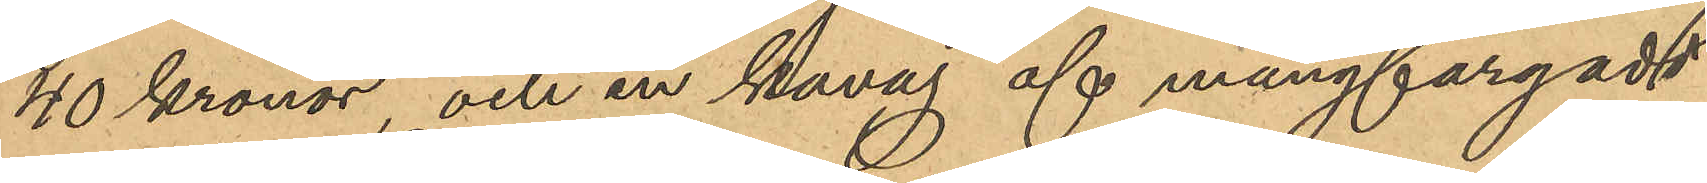40 Kronor och en kavaj af mångfärgadt
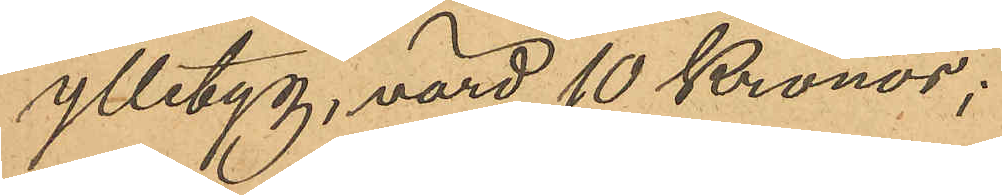ylletyg, värd 10 Kronor;
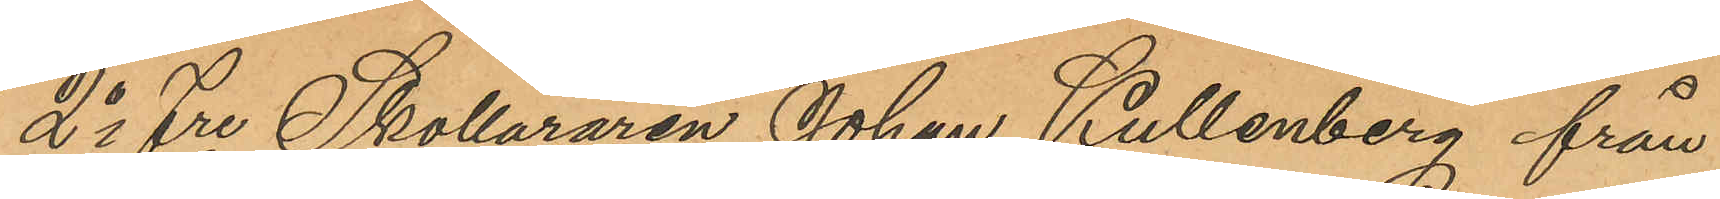2o Fre Skolläraren Johan Kullenberg från
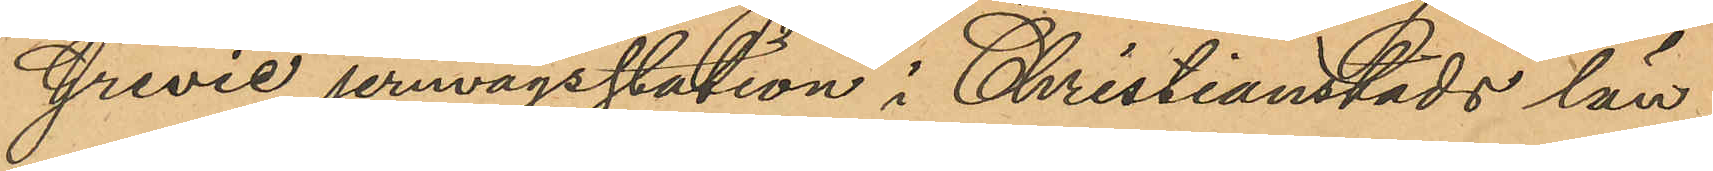Grevie jernvägsstation i Christianstads län
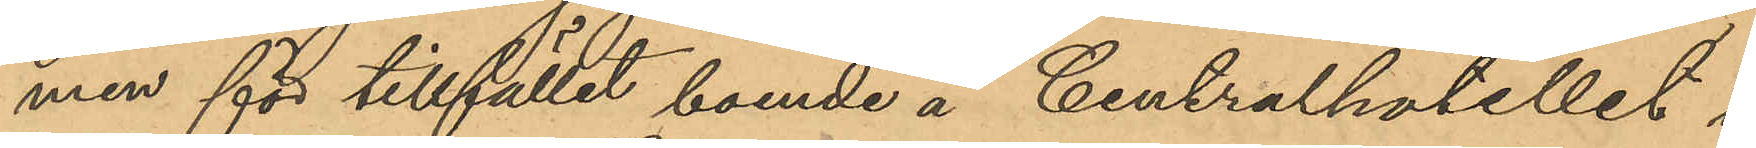men för tillfället boende å Centralhotellet i
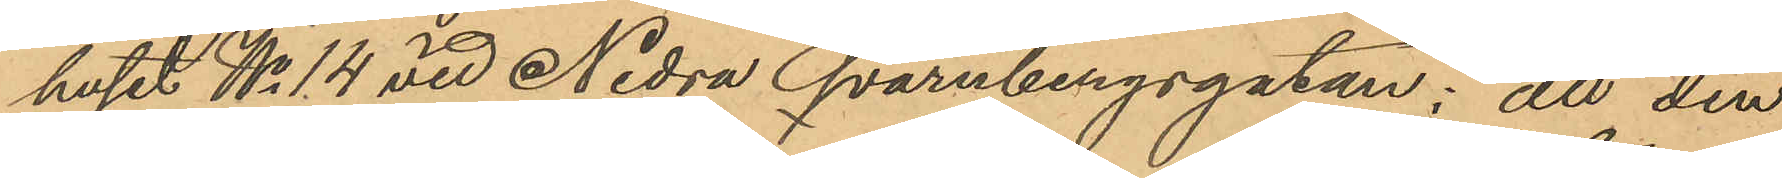huset No 14 vid Nedra Qvarnbergsgatan; att den
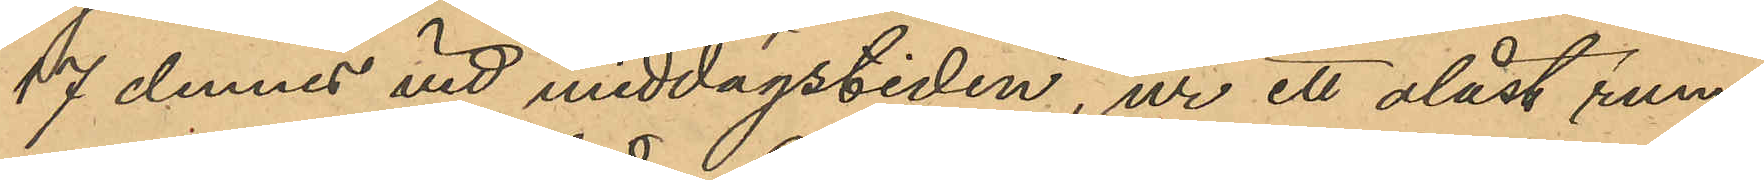17 dennes vid middagstiden, ur ett olåst rum
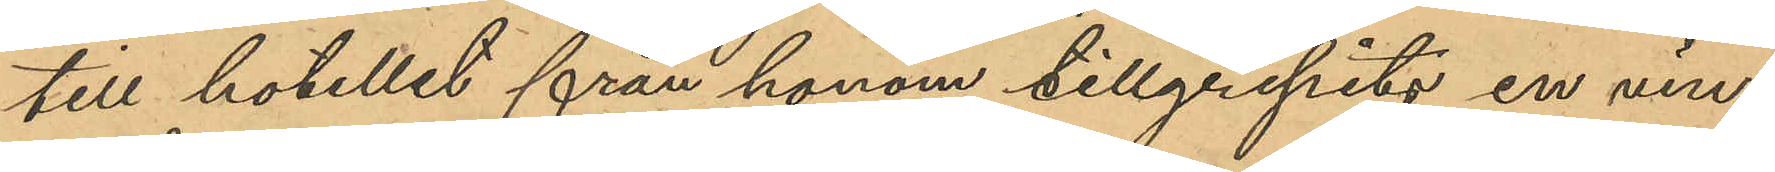till hotellet från honom tillgripits en vin¬
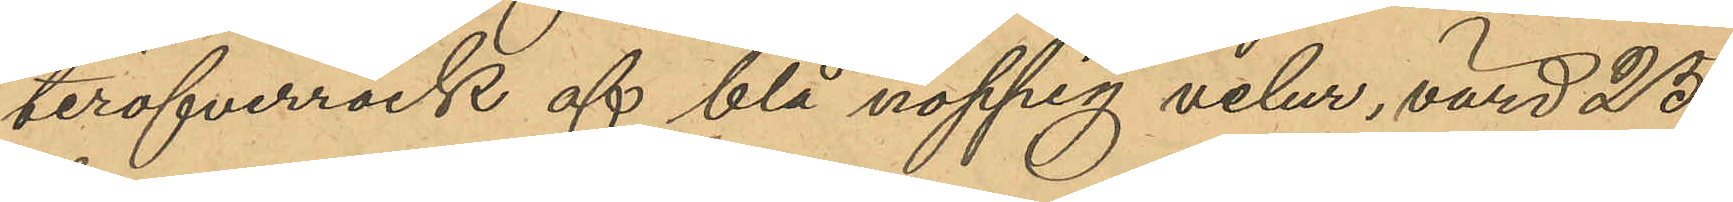teröfverrock af blå noppig velur, värd 25
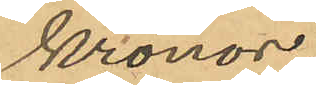Kronor;
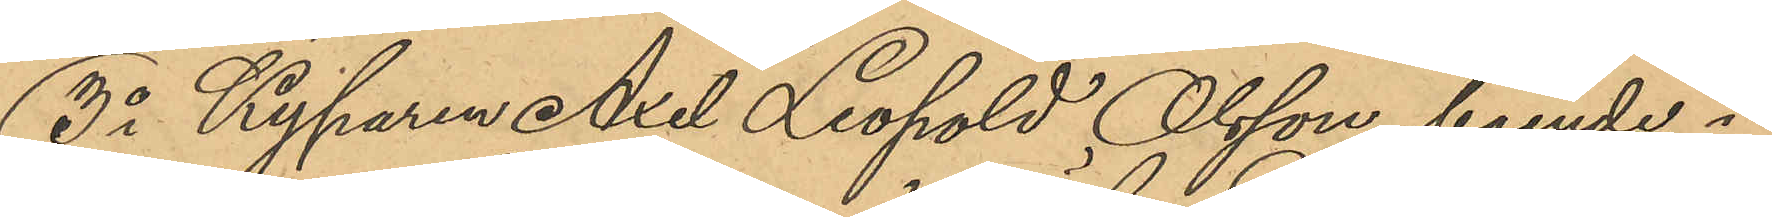3o Kyparen Axel Leopold Olsson, boende i
